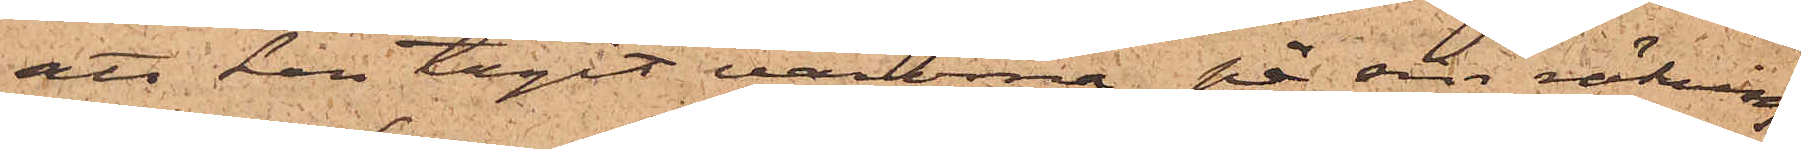att han tagit varorna på sin räkning
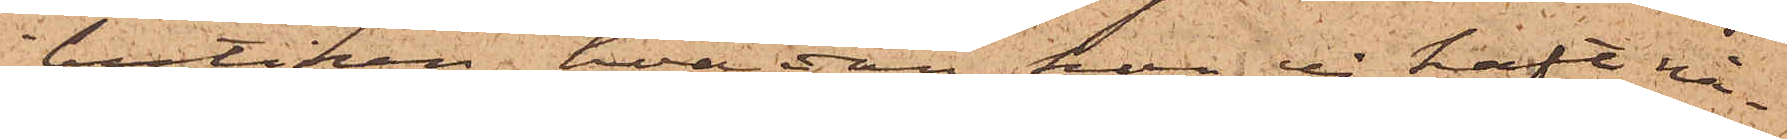butiken, hvadan hon ej haft nå¬
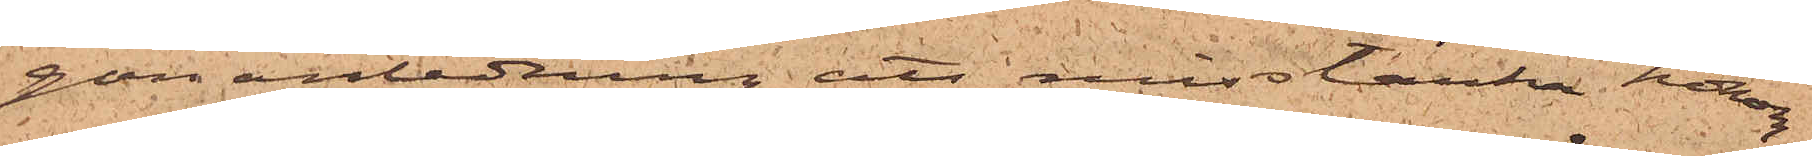gon anledning att misstänka honom.
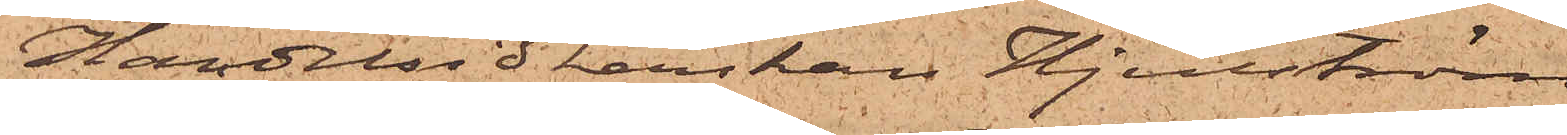Handelsidkerskan Hjulström,
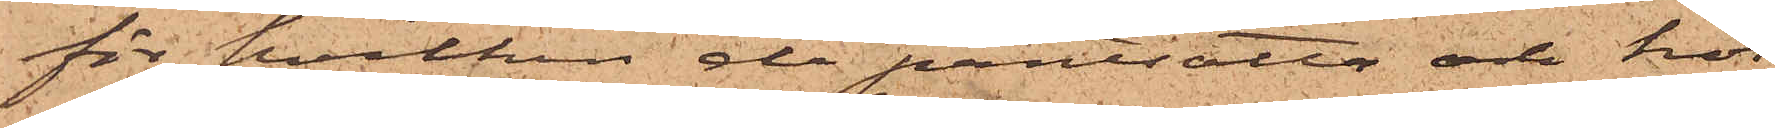för hvilken de pantsatte och hos
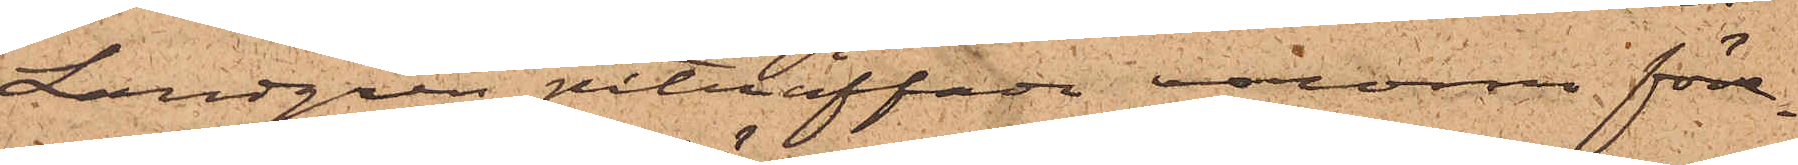Landgren påträffade varorna före¬
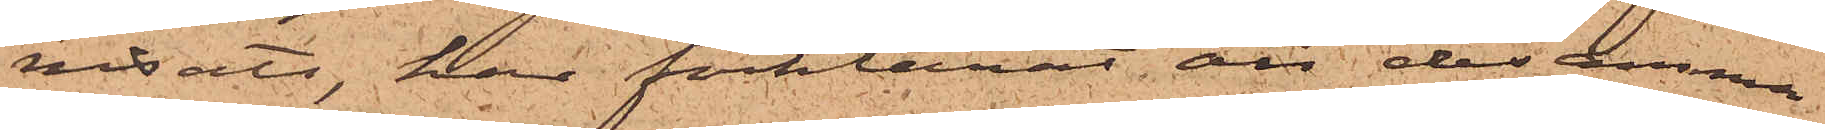visats, har förklarat, att desamma
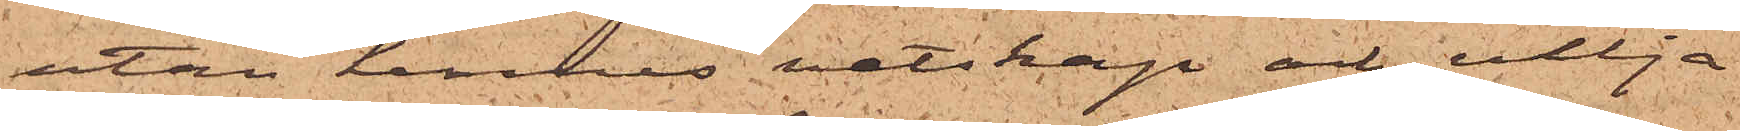utan hennes vetskap och vilja
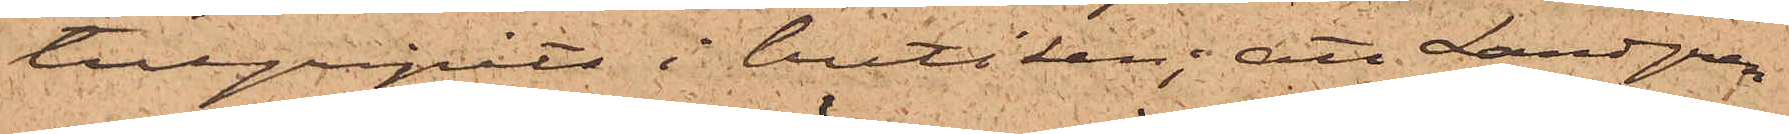tillgripits i butiken; att Landgren
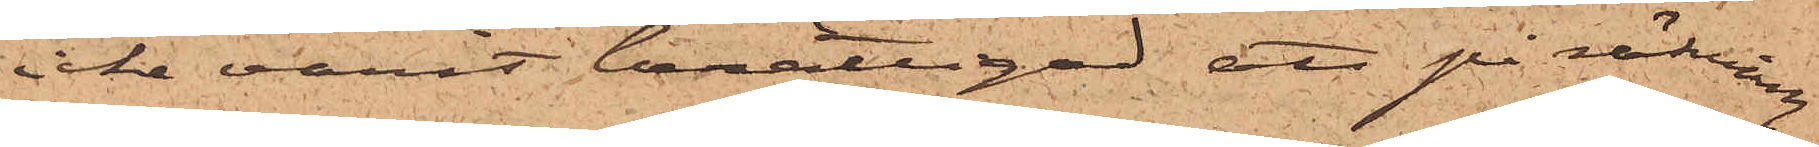icke varit berättigad att på räkning
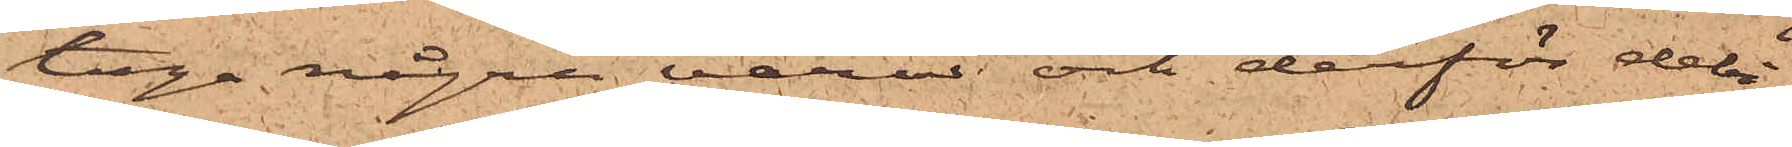taga några varor och derför debi¬
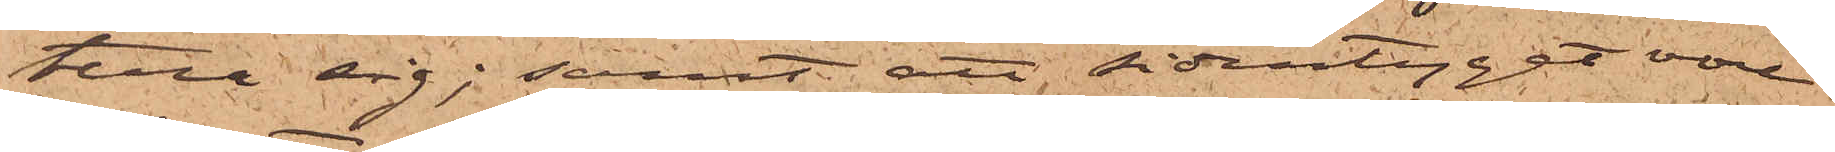tera sig; samt att sidentyget vore
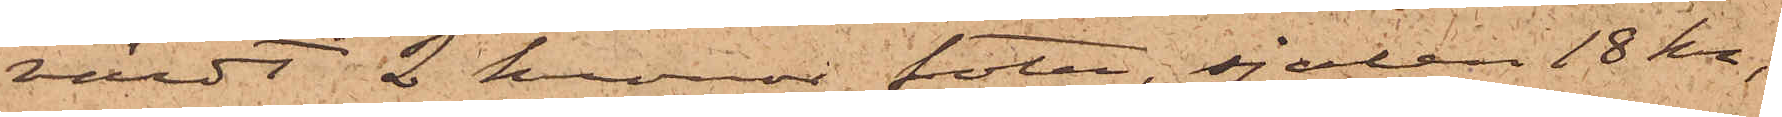värdt 2 kronor foten, sjalen 18 kr,
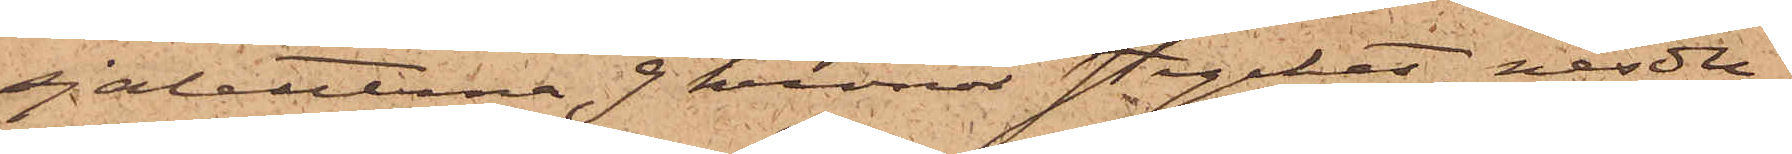sjaletterna 9 kronor stycket, näsdu¬
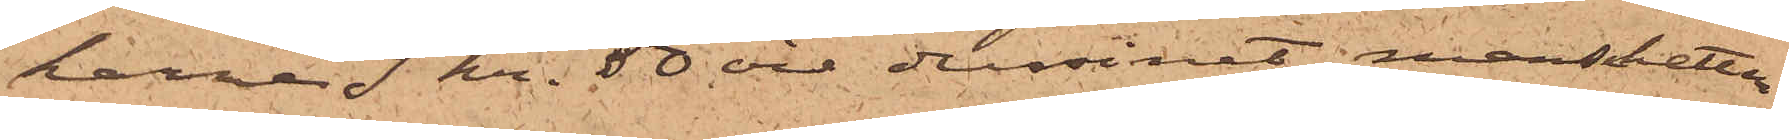karne 9 kr. 50 öre dussinet, manschetter¬
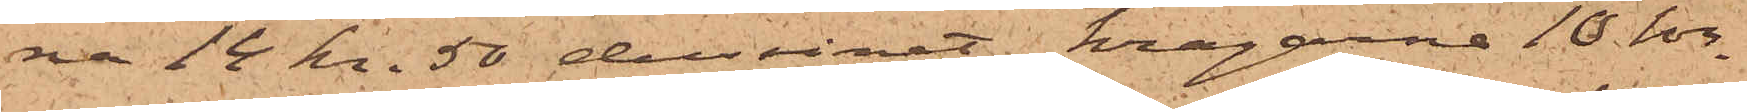na 14 kr. 50 dussinet, kragarne 10 kr.
